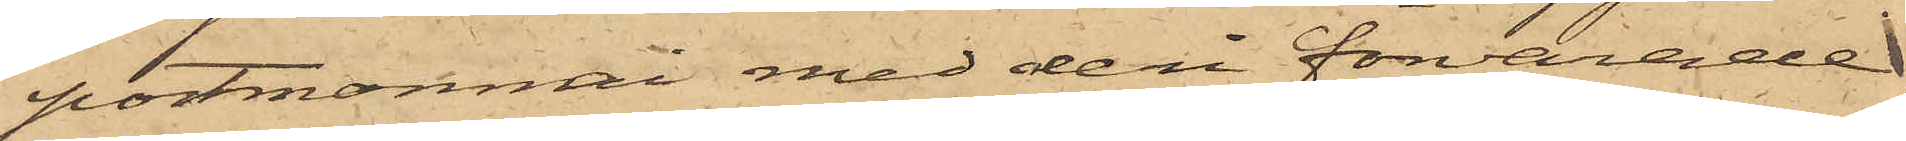portmonnai med deri förvarade
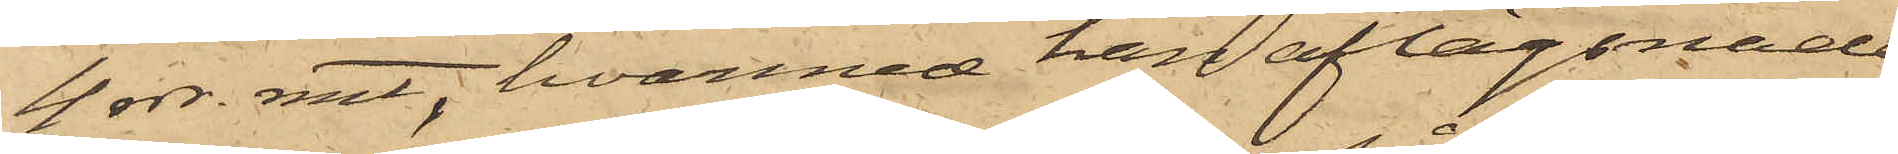4 rdr. rmt, hvarmed han aflägsnade
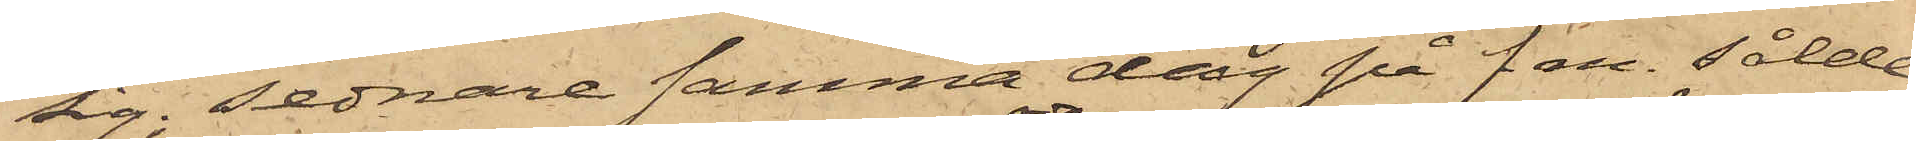sig; sednare samma dag på f m. sålde
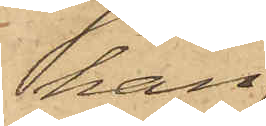han
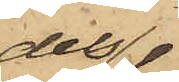dels
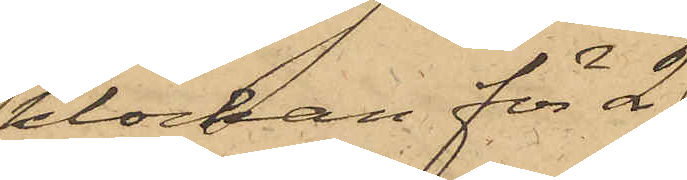klockan för 2
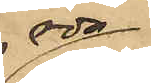rdr
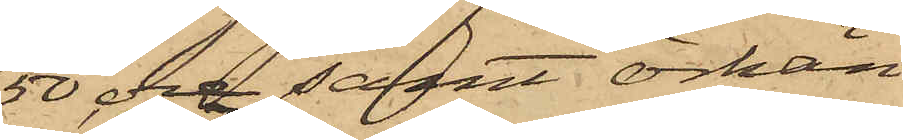50 öre samt örhän¬
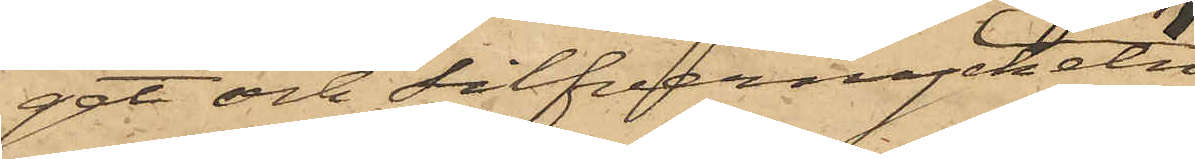get och silfvernyckeln
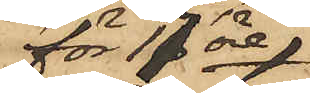för 17 öre
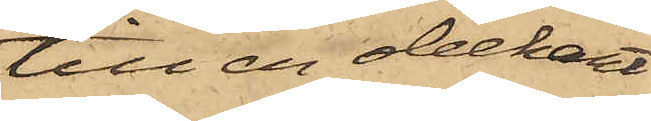till en obekant
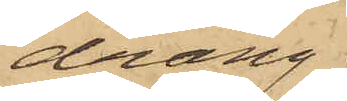dräng
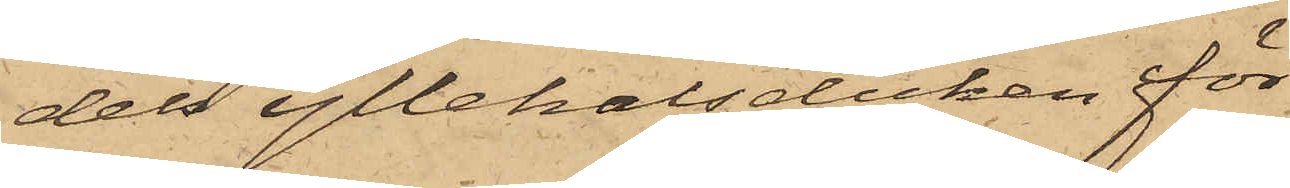dels yllehalsduken för
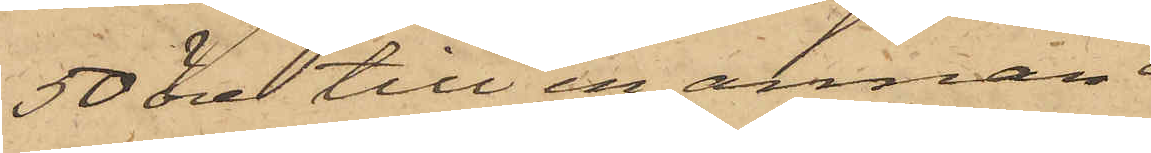50 öre till en annan
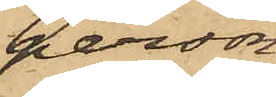person,
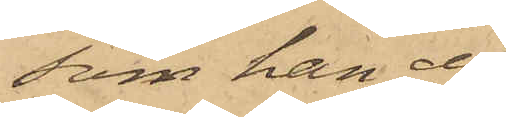som han ej
